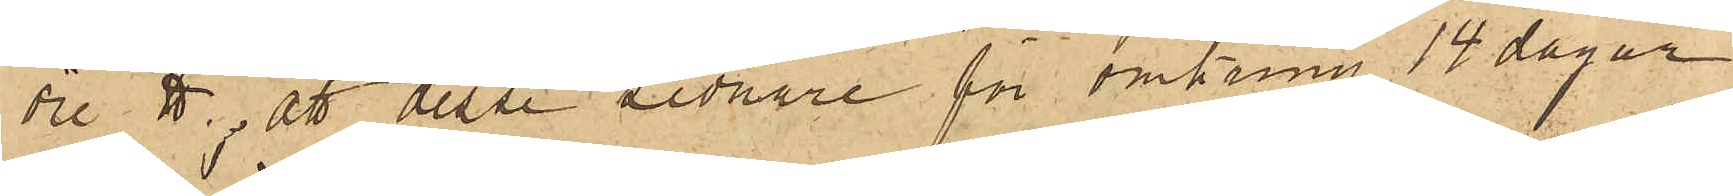öre ℔; att dessa sednare för omkring 14 dagar
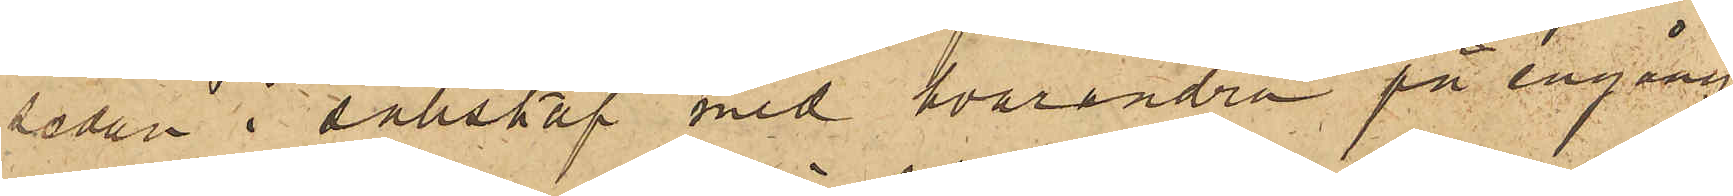sedan i sällskap med hvarandra på engång
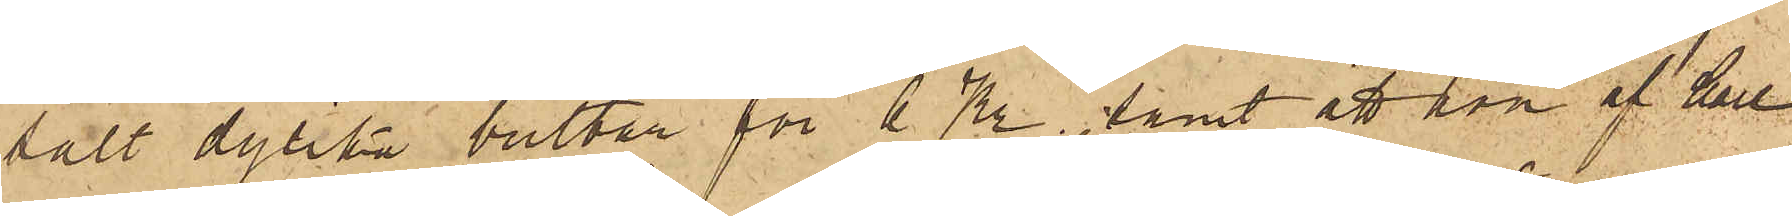sålt dylika bultar för 6 Kr., samt att hon af Carl
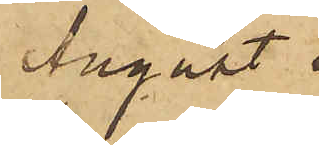August
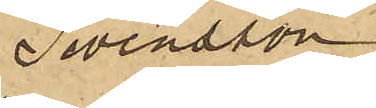Swensson
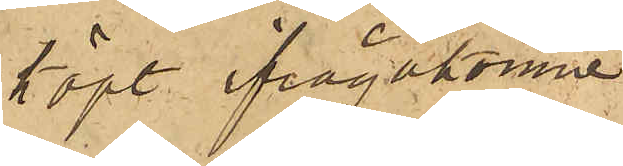köpt ifrågakomne
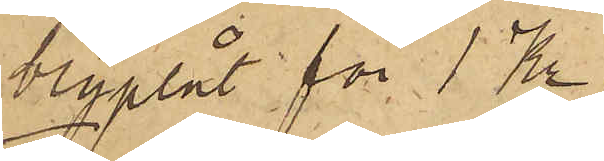blyplåt för 1 Kr.
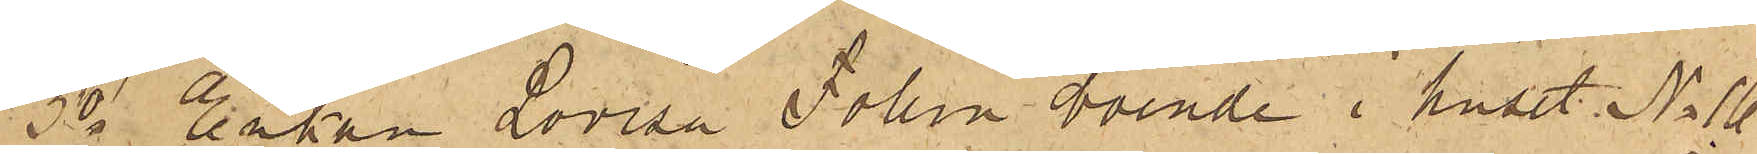3o Enkan Lovisa Follin boende i huset No 16
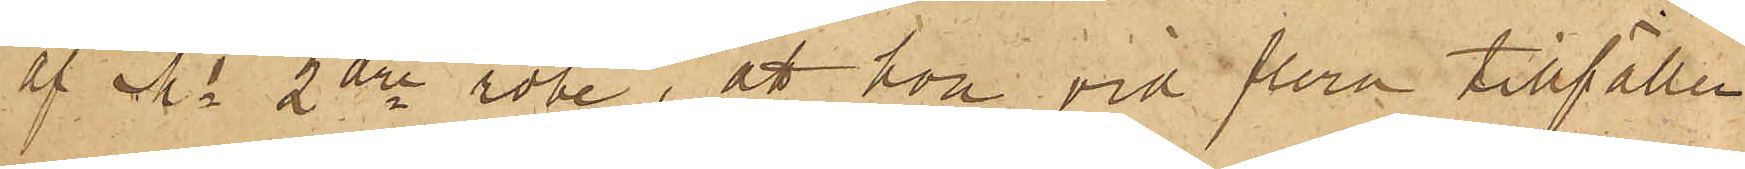af Ms 2dre rote, att hon vid flera tillfällen
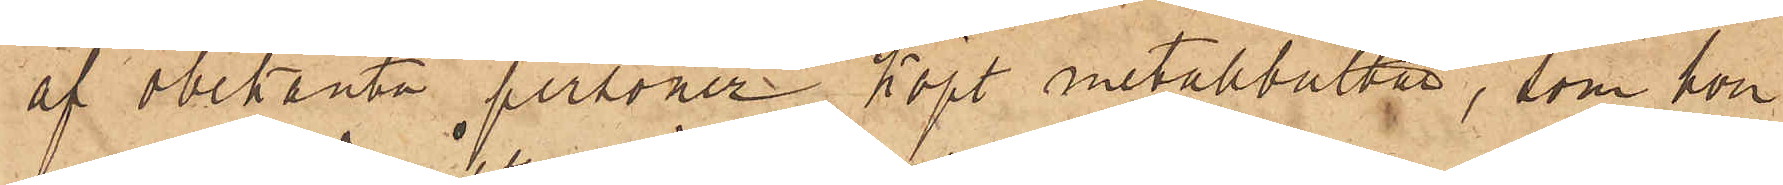af obekanta personer köpt metallbultar, som hon
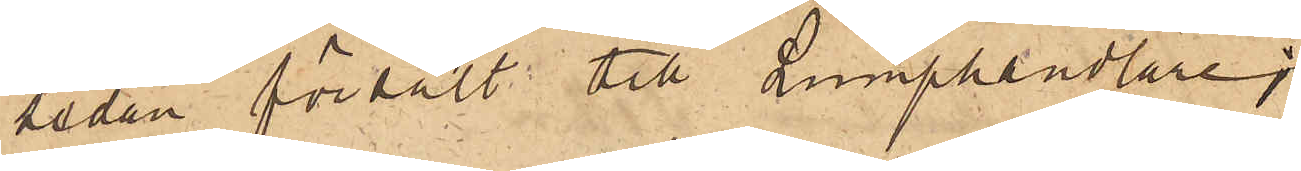sedan försålt till Lumphandlare;
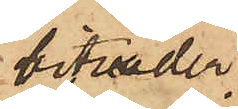biträder
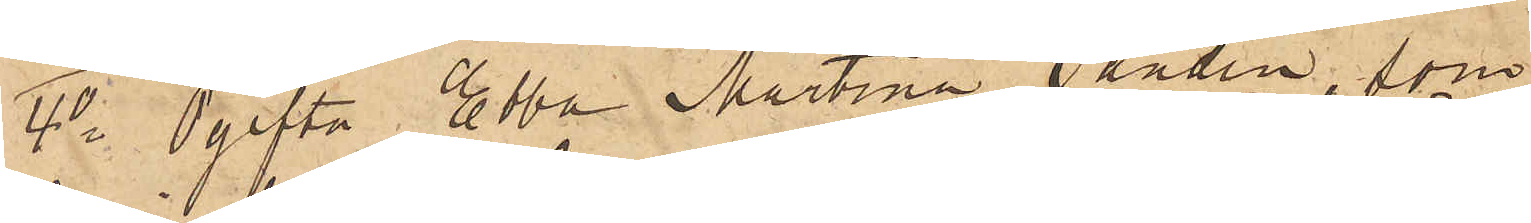4o Ogifta Ebba Martina Sandin, som
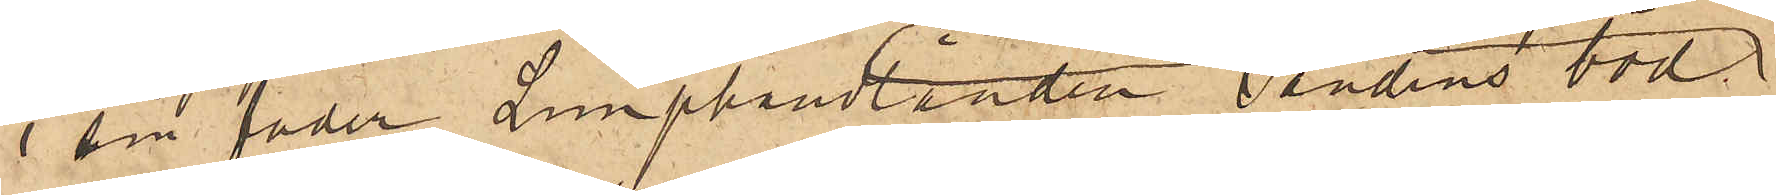i sin fader Lumphandlanden Sandins bod
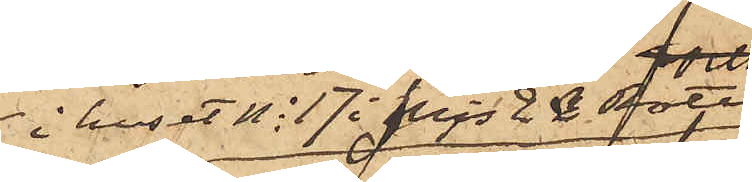i huset No 17 i Mjs 2dra rote;
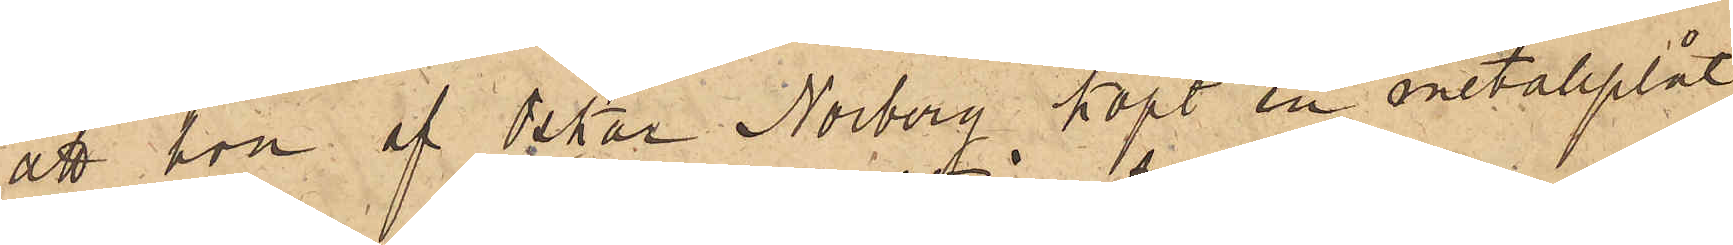att hon af Oskar Norberg köpt en metallplåt,
